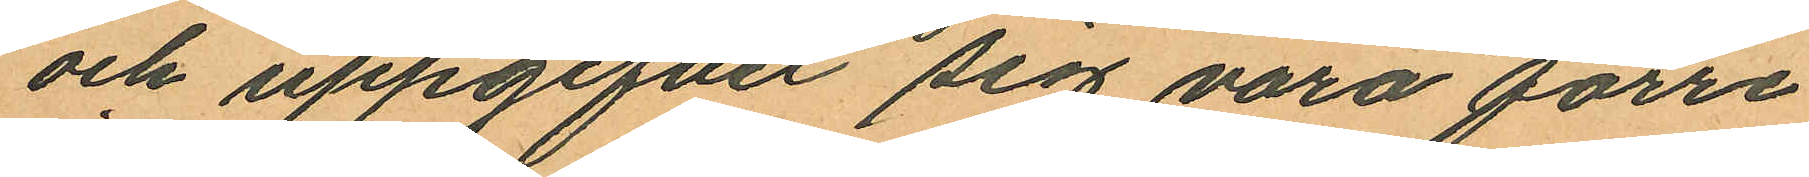och uppgifvit sig vara förre
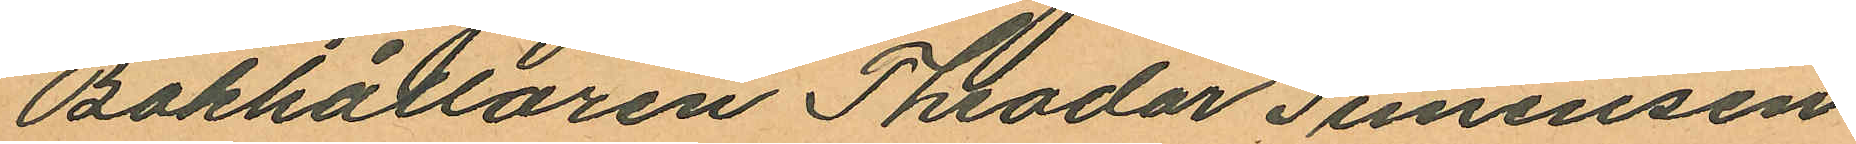Bokhållaren Theodor Simensen
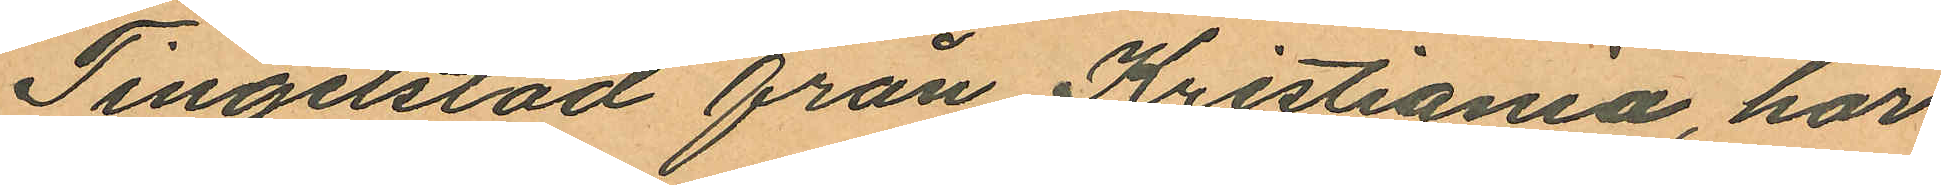Tingelstad från Kristiania, har
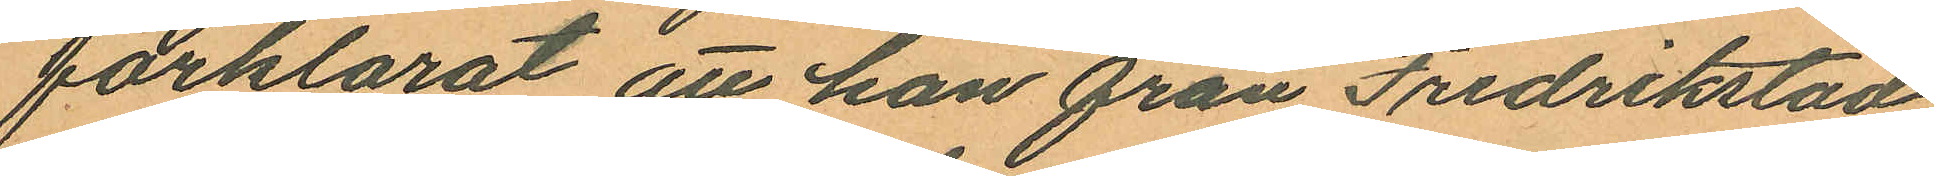förklarat att han från Fredrikstad
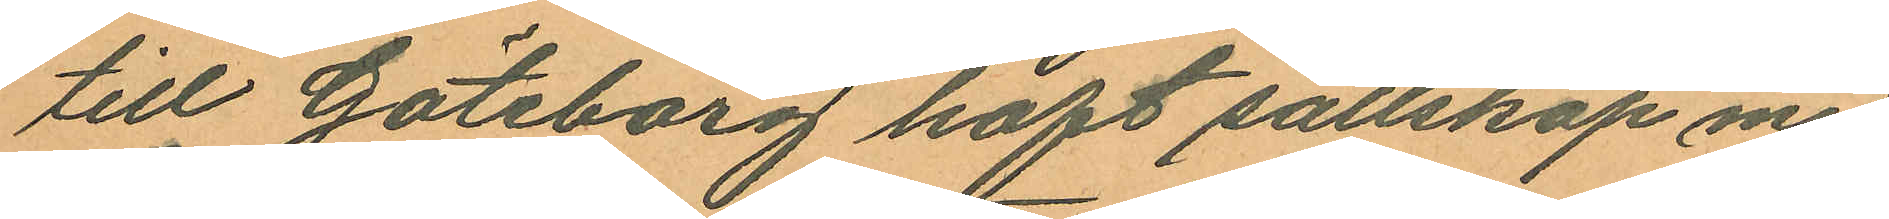till Göteborg haft sällskap med
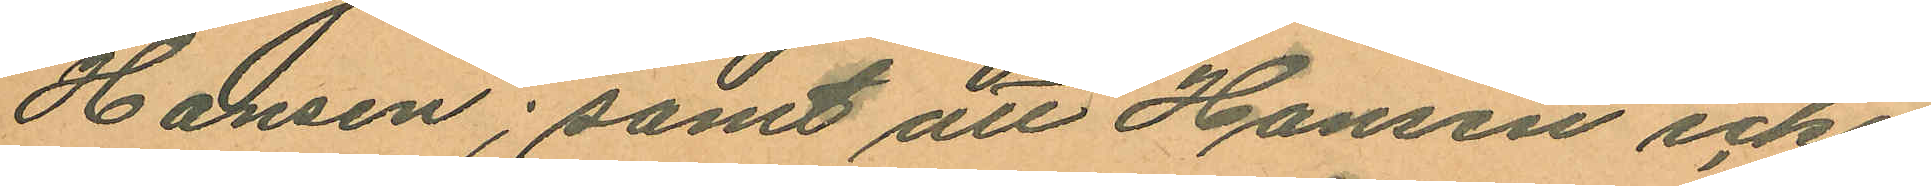Hansen; samt att Hansen icke
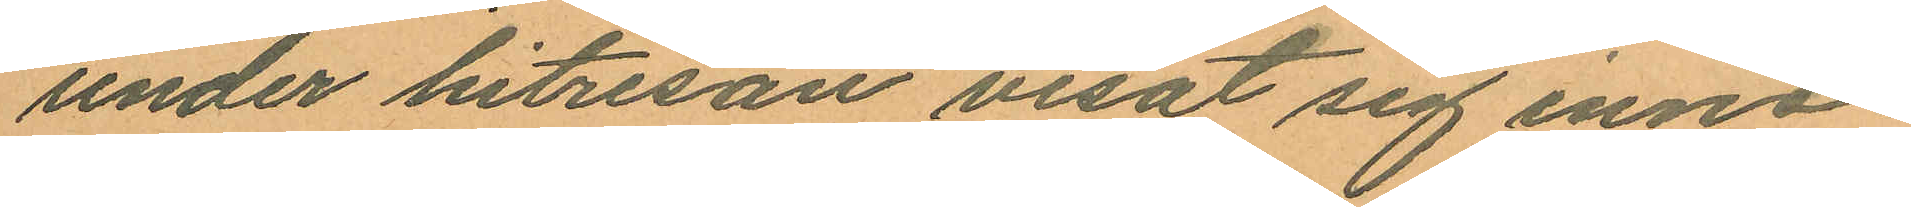under hitresan visat sig inne¬
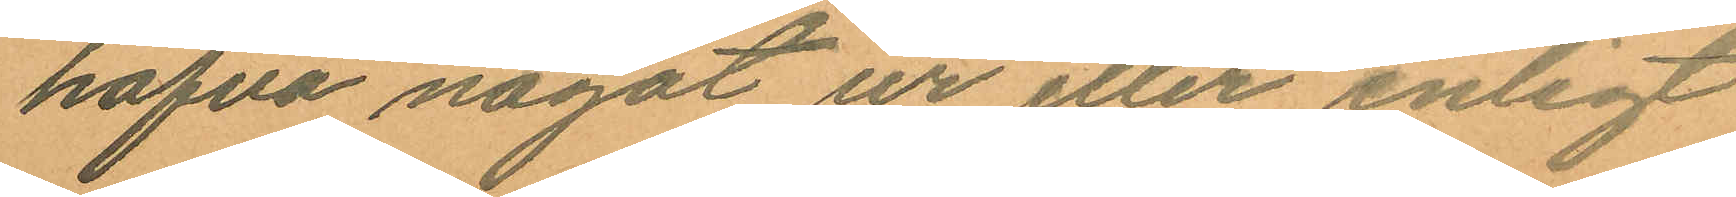hafva något ur eller enligt
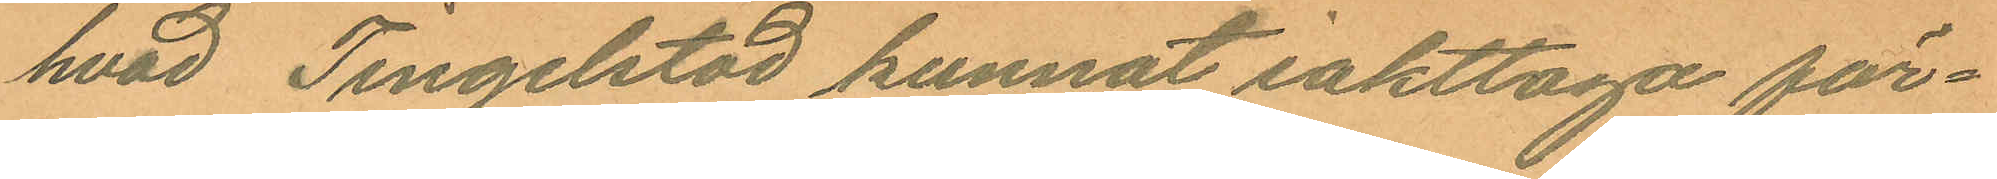hvad Tingelstad kunnat iakttaga för¬
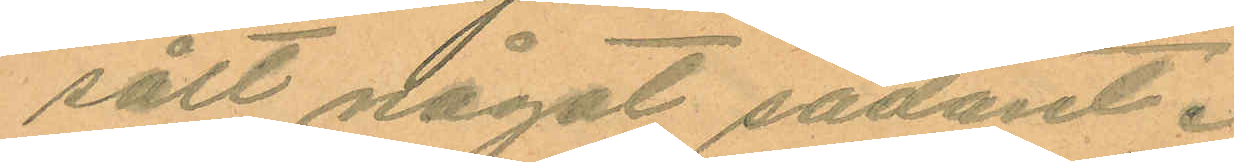sålt något sådant.
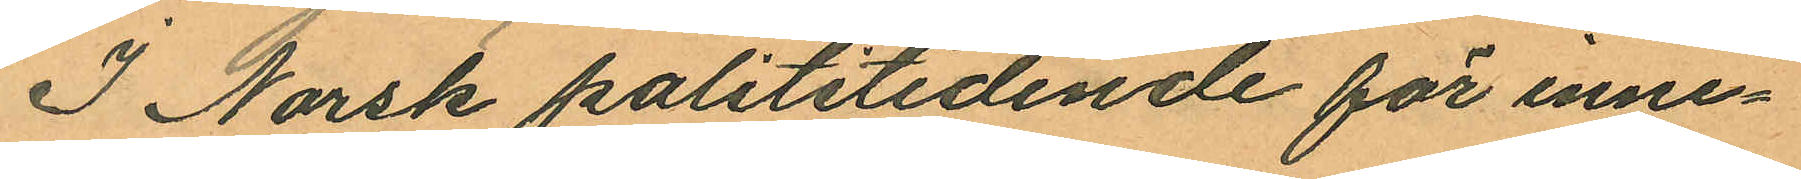I Norsk polititidende för inne¬
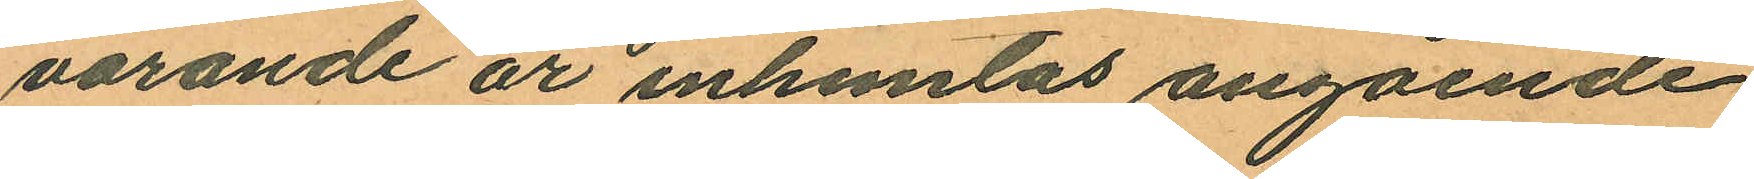varande år inhemtas angående
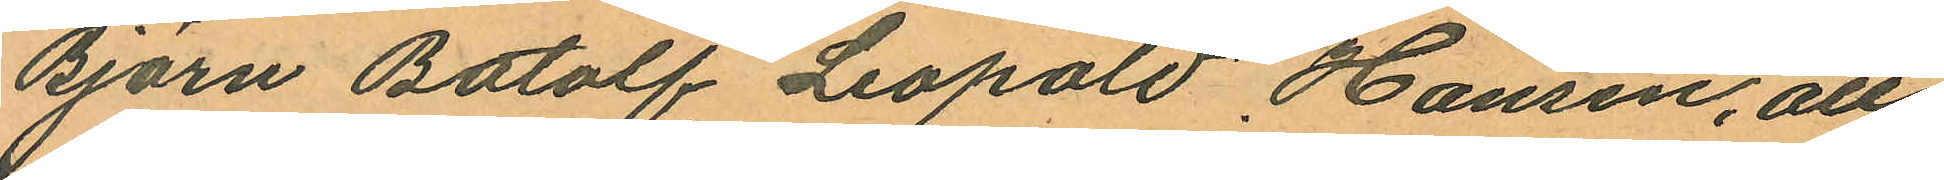Björn Botolf Leopold Hansen, att
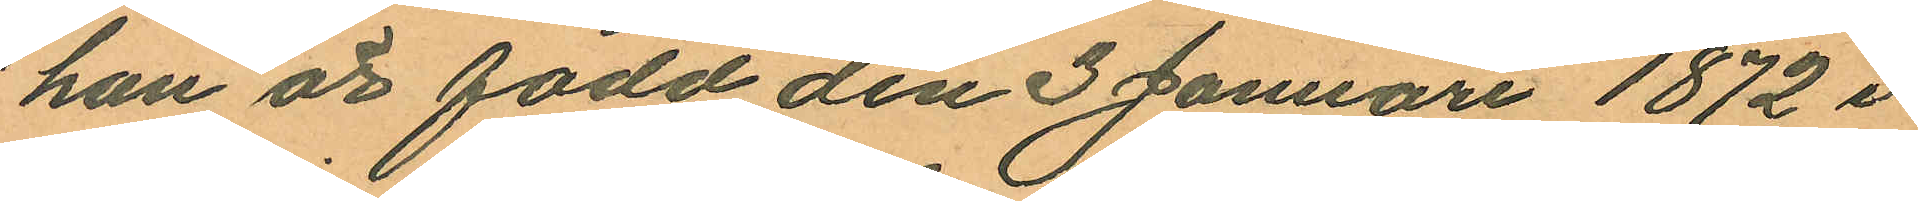han är född den 3 Januari 1872 i
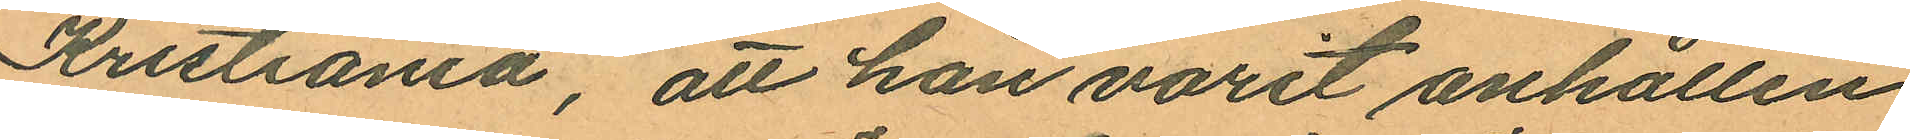Kristiania, att han varit anhållen
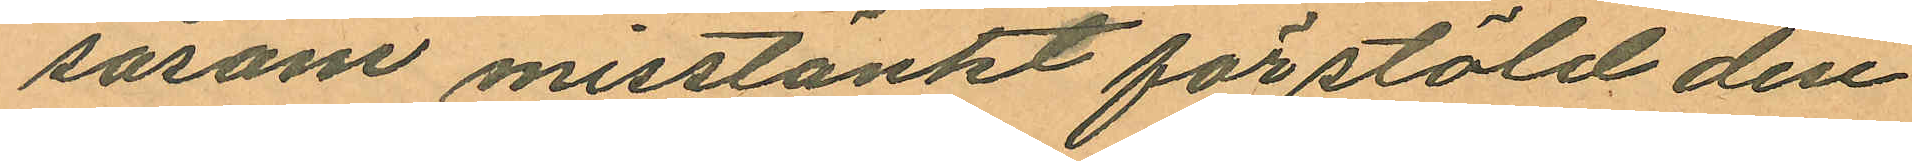såsom misstänkt för stöld den
